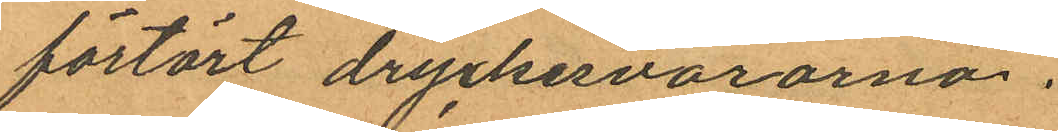förtärt dryckesvarorna.
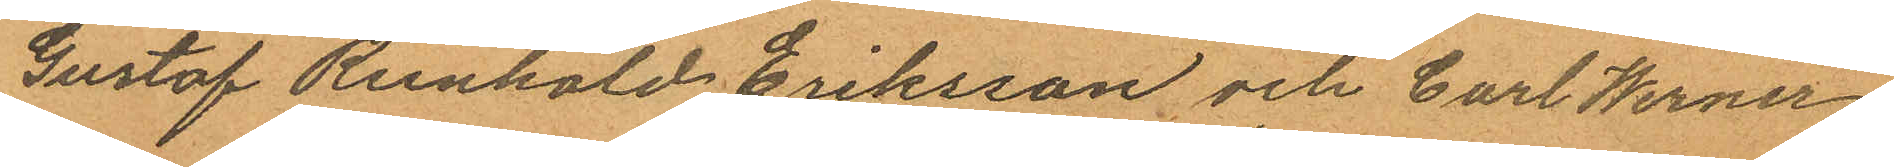Gustaf Reinhold Eriksson och Carl Werner
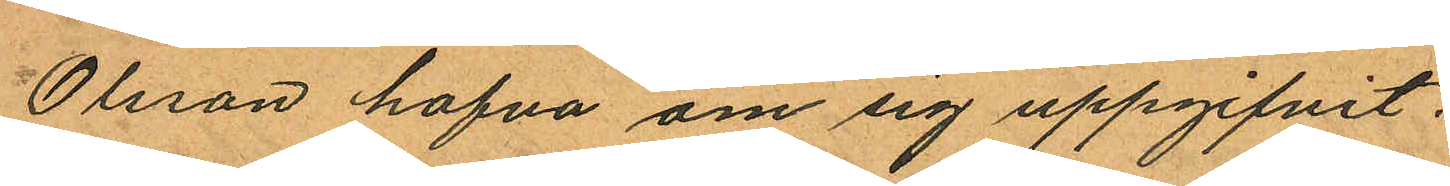Olsson hafva om sig uppgifvit:
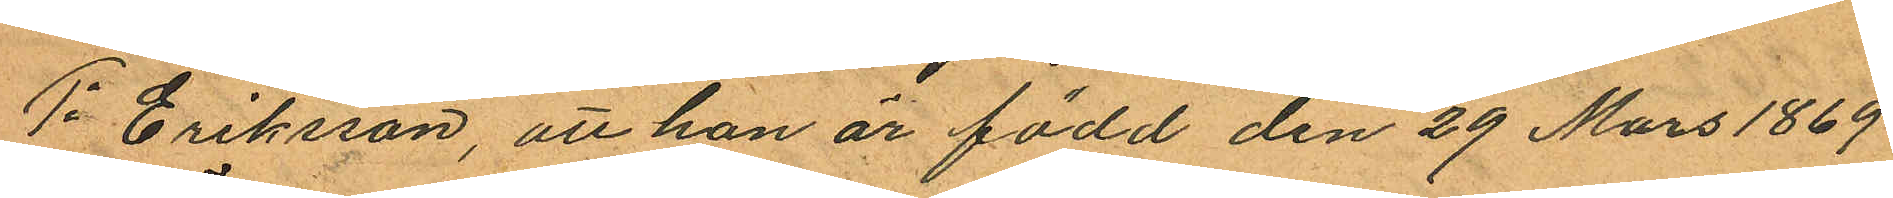1o Eriksson, att han är född den 29 Mars 1869
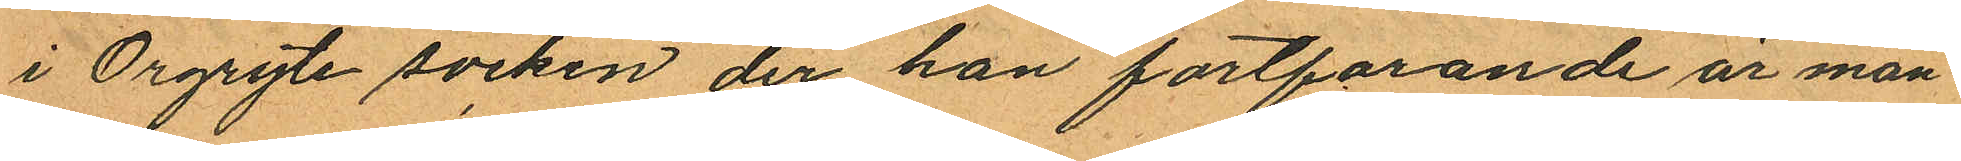i Örgryte socken der han fortfarande är man¬
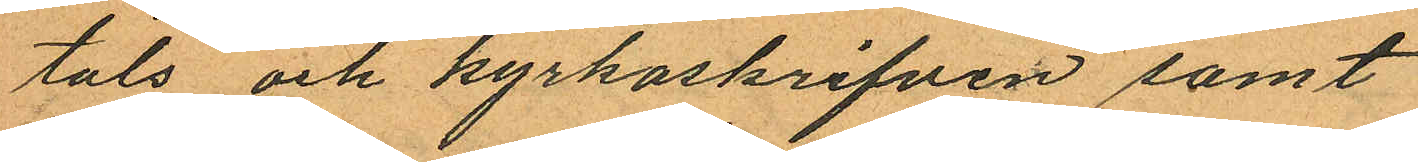tals och kyrkoskrifven samt
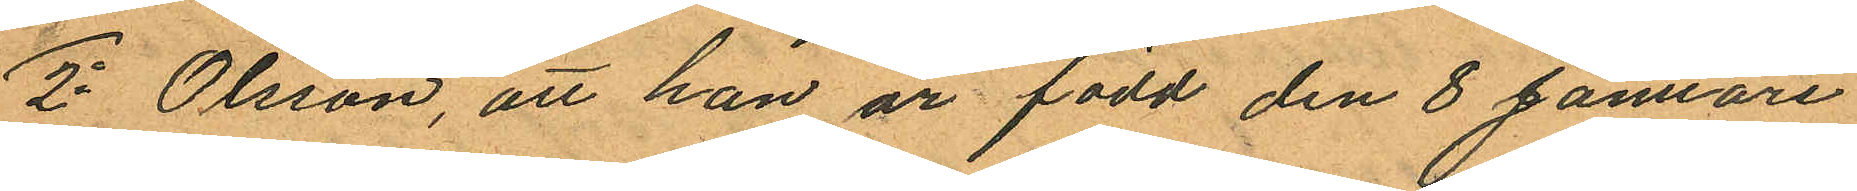2o Olsson, att han är född den 8 Januari
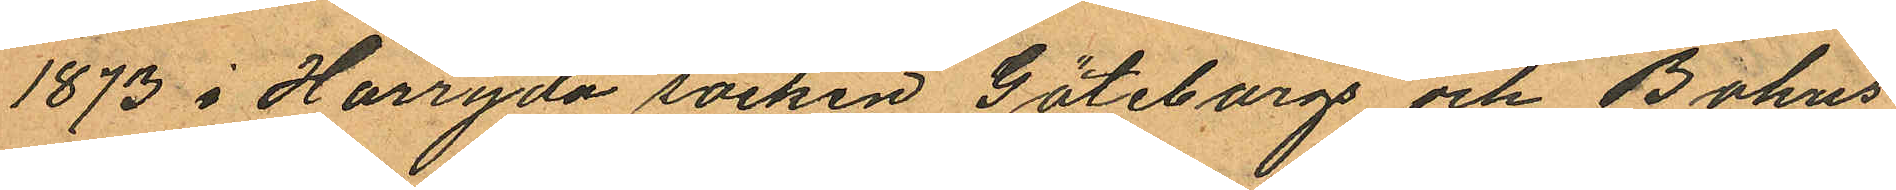1873 i Härryda socken Göteborg och Bohus
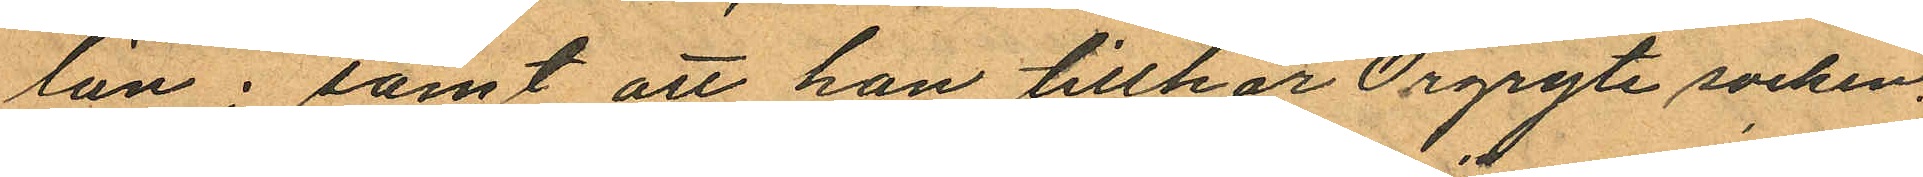län; samt att han tillhör Örgryte socken,
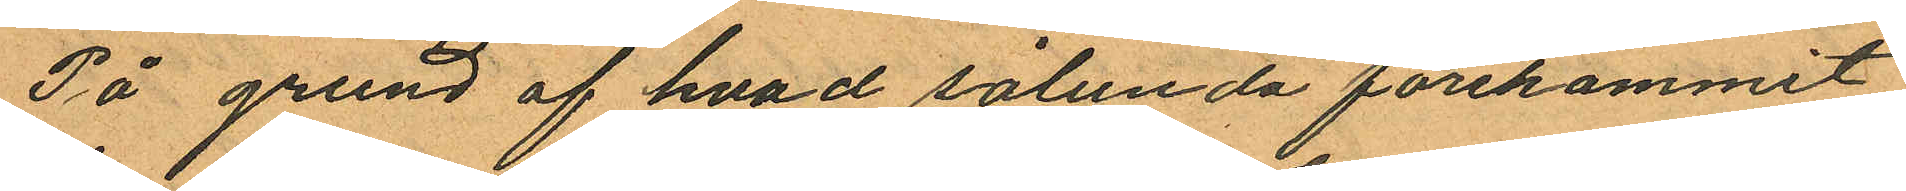På grund af hvad sålunda förekommit,
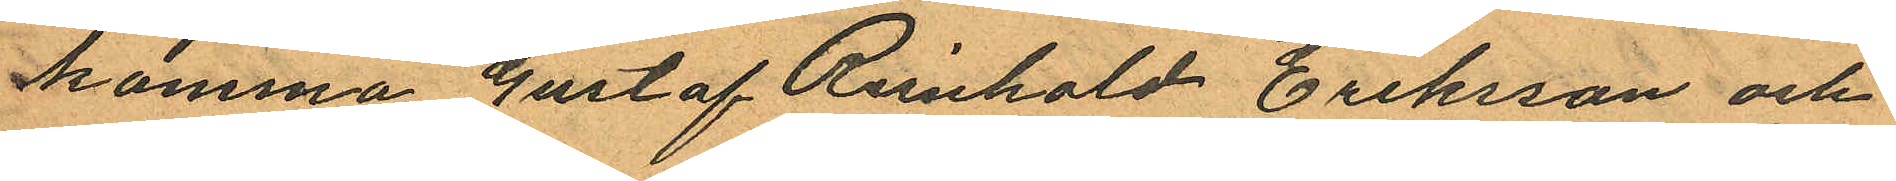komma Gustaf Reinhold Eriksson och
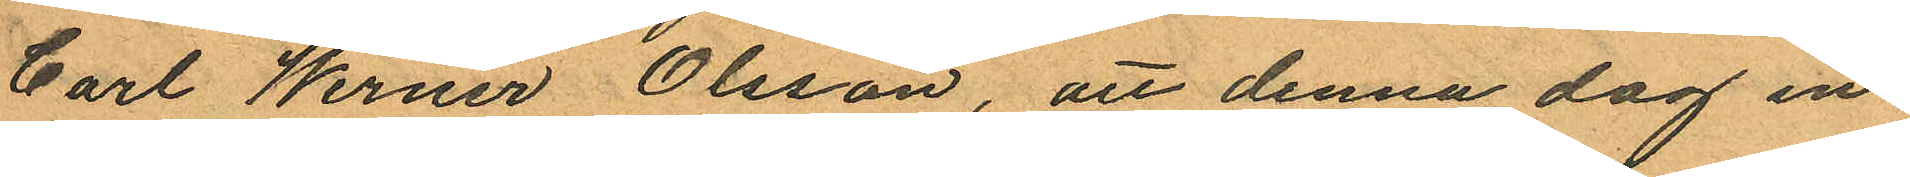Carl Werner Olsson, att denna dag in¬
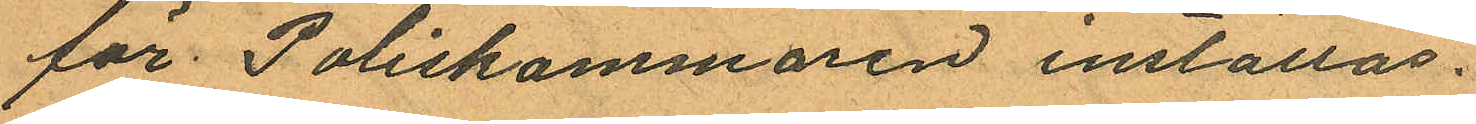för Poliskammaren inställas.
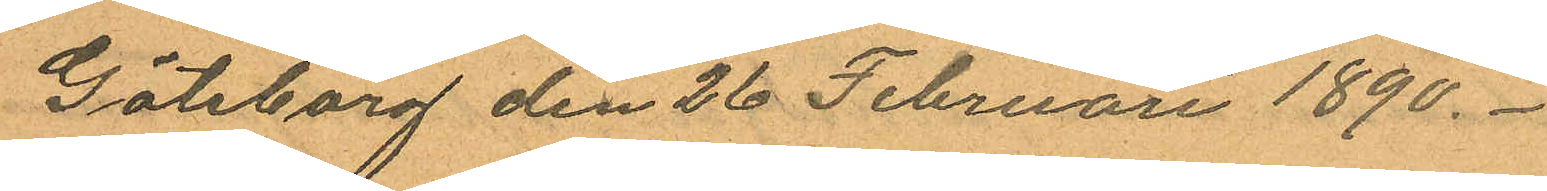Göteborg den 26 Februari 1890.
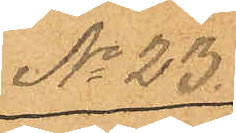No 23.
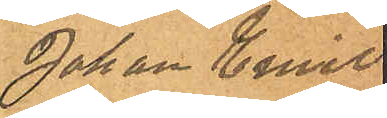Johan Emil
